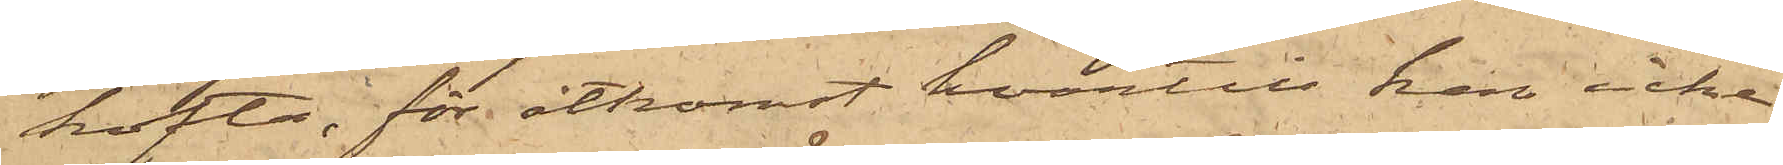kofta, för åtkomst hvartill han icke
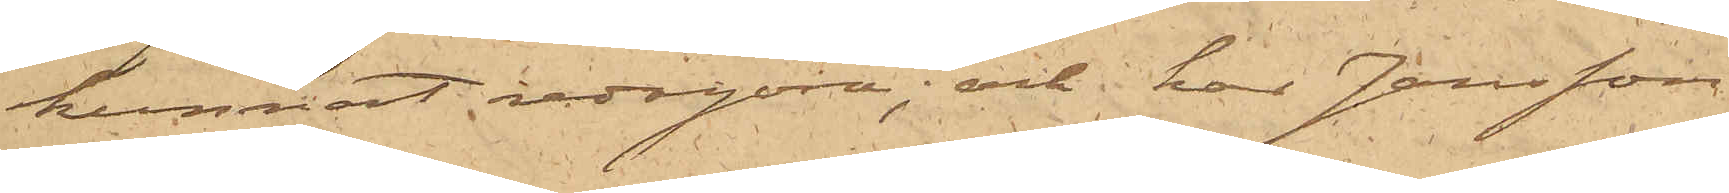kunnat redogöra; och har Jansson
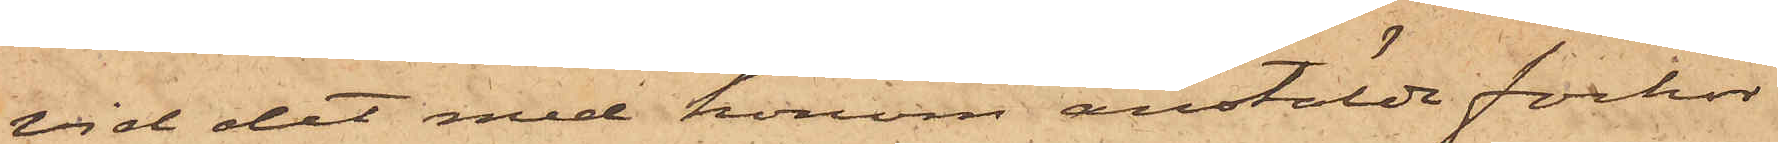vid det med honom anstälde förhör
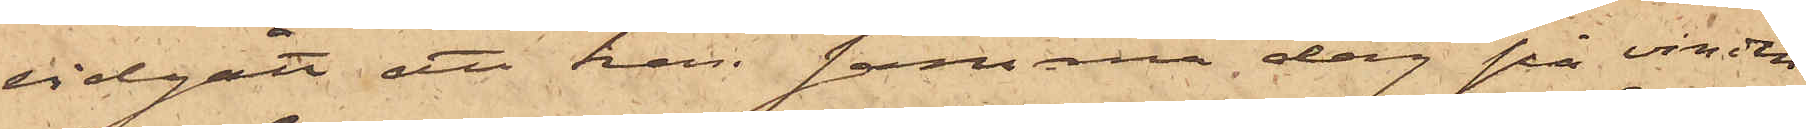vidgått att han samma dag på vinden
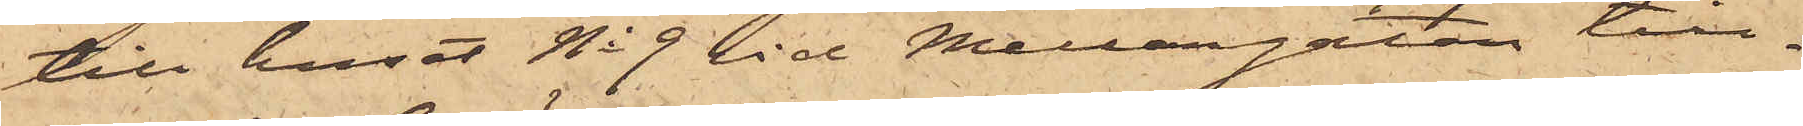till huset No 9 vid Mellangatan till¬
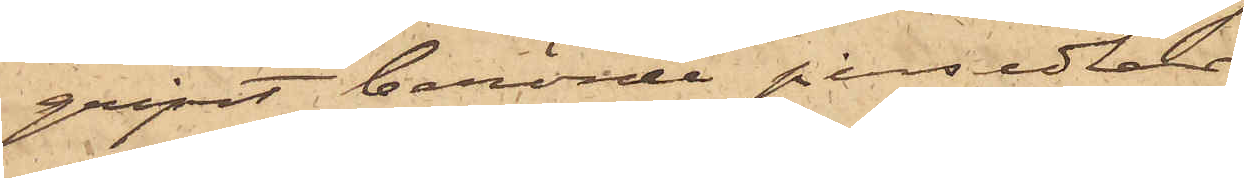gripit berörde persedlar.
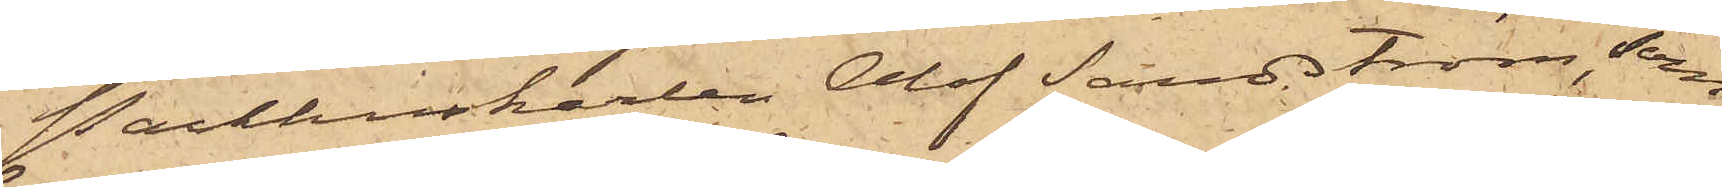Packhuskarlen Olof Sandström, som
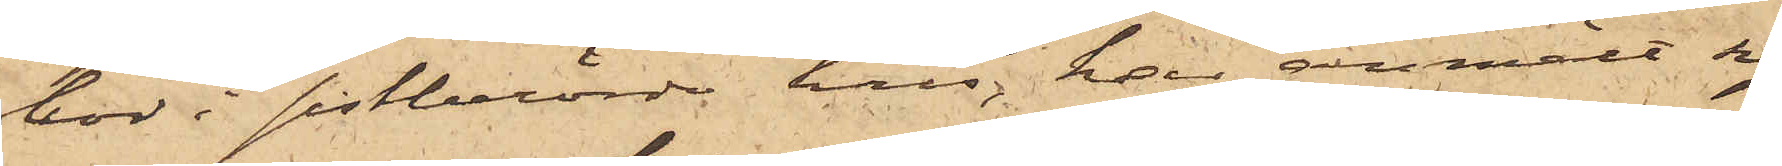bor i sistberörde hus, har anmält sig
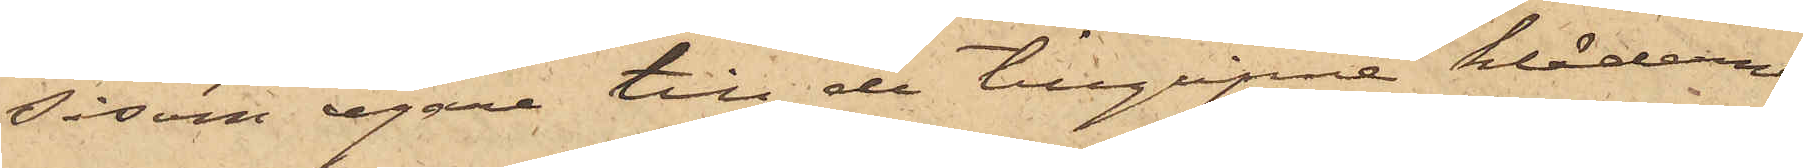såsom egare till de tillgripna kläderna
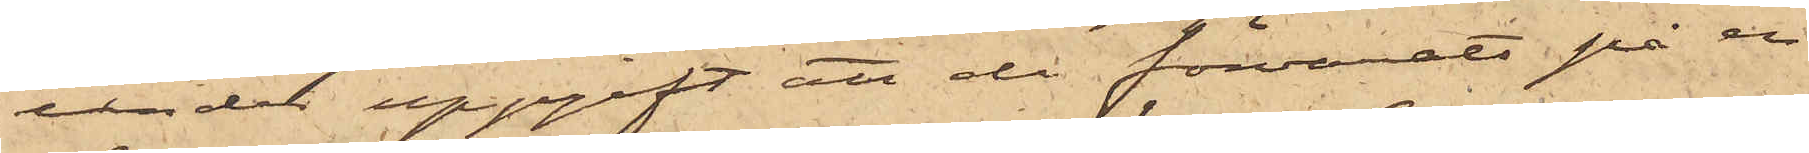under uppgift att de förvarats på en
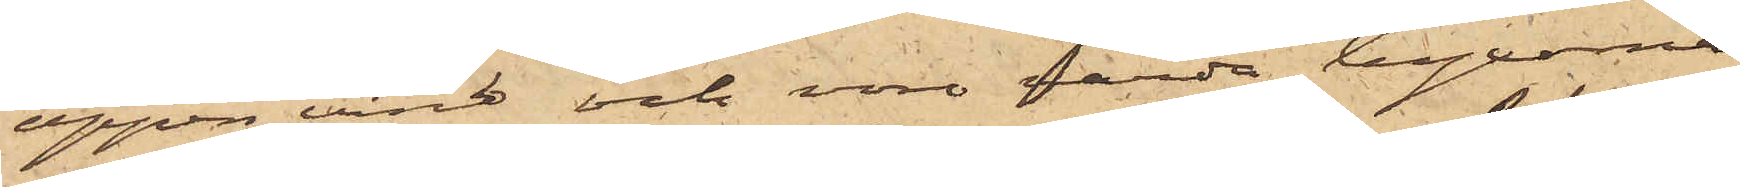öppen vind och vore värda byxorna
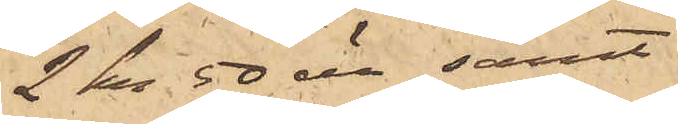2 kr 50 öre samt
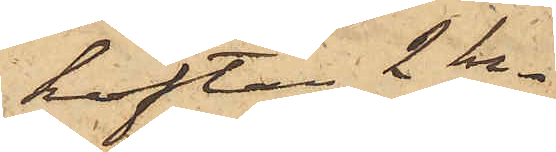koftan 2 kr.
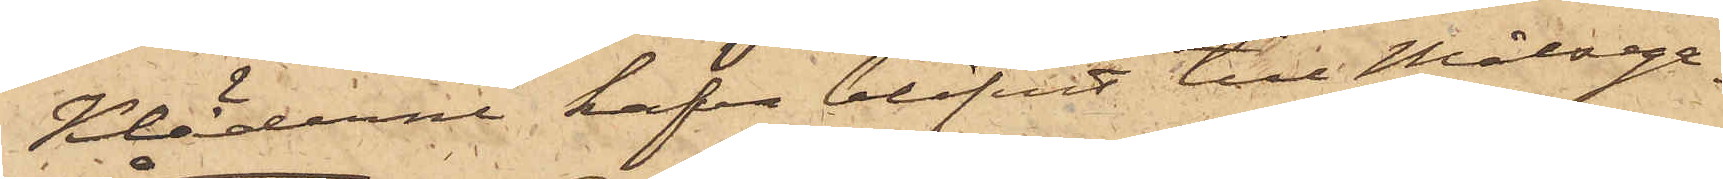Kläderna hafva blifvit till Målsega¬
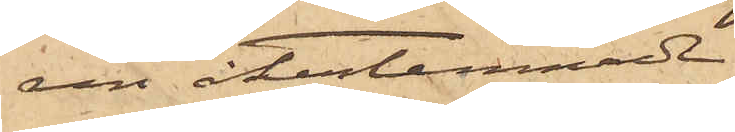ren återlemnade.
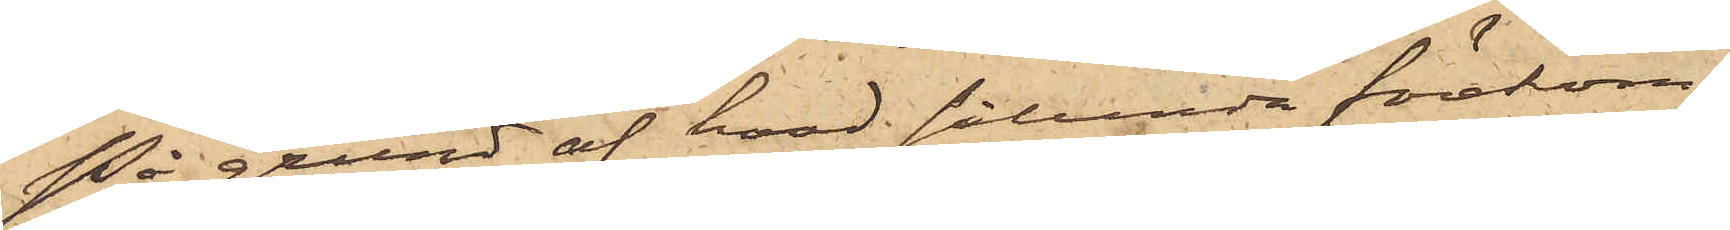På grund af hvad sålunda förekom¬
